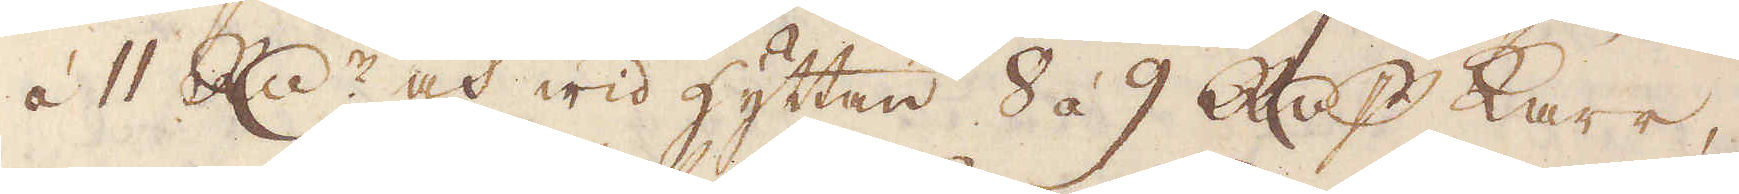à 11 R:dr och wid hyttan 8 á 9 R:dr p karr,
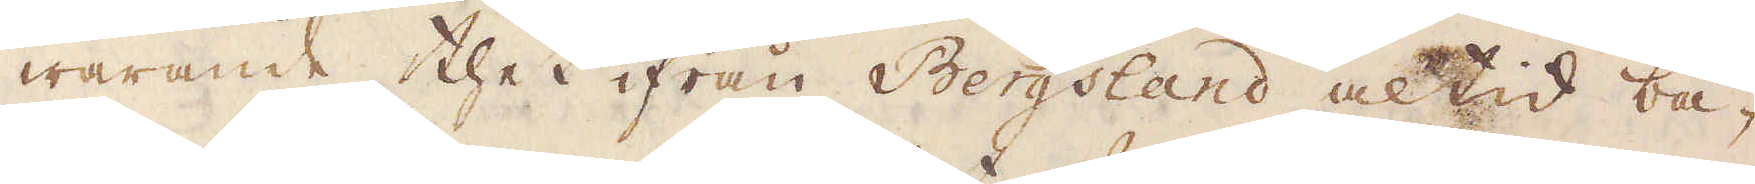warande thet ifrån Bergsland altid bä-
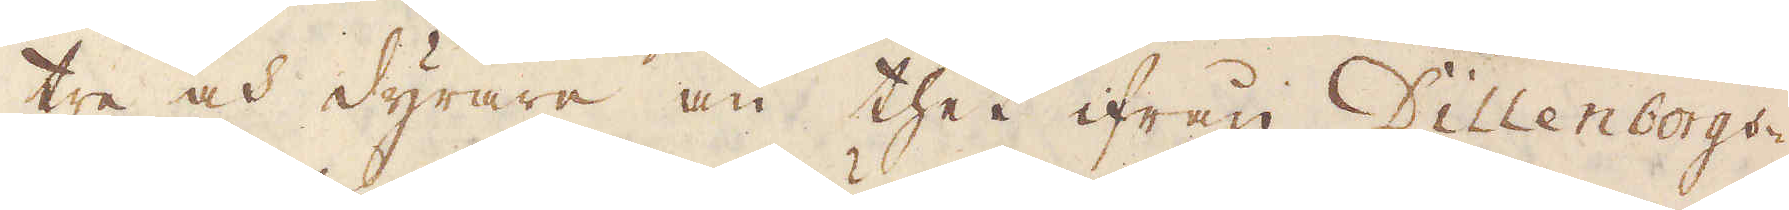tre och dyrare än thet ifrån Dillenborgs-
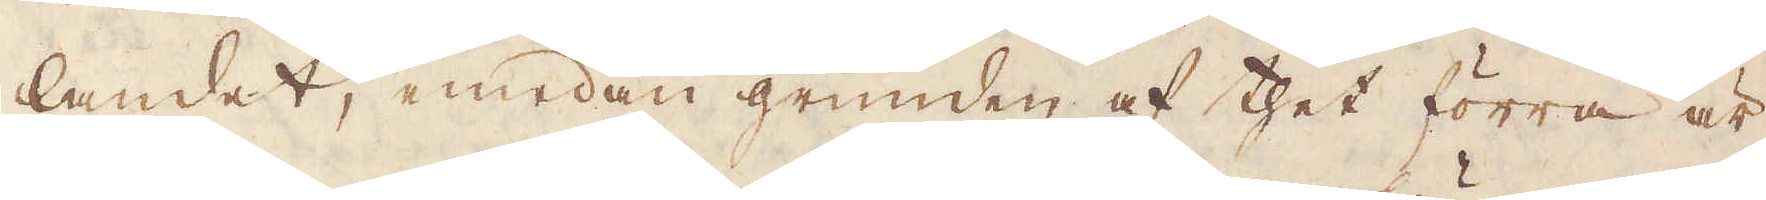landet, emedan grunden af thet förra är
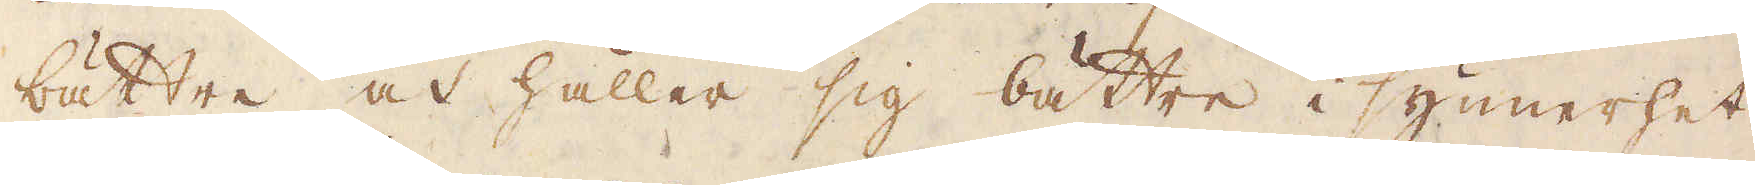bättre och håller sig bättre i synnerhet,
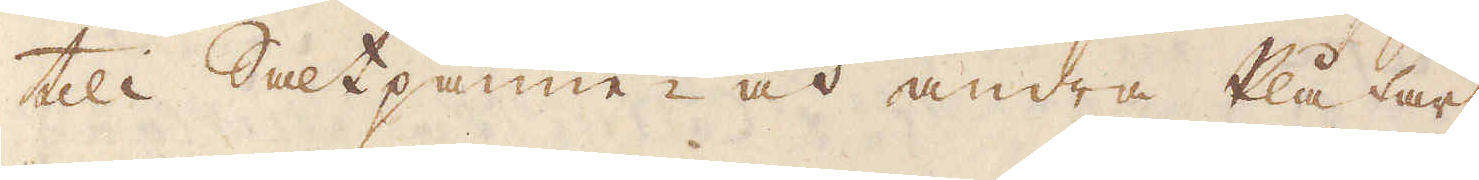till Saltpanne- och andra Plåtar.
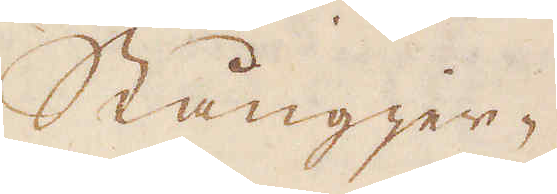Stångjer-
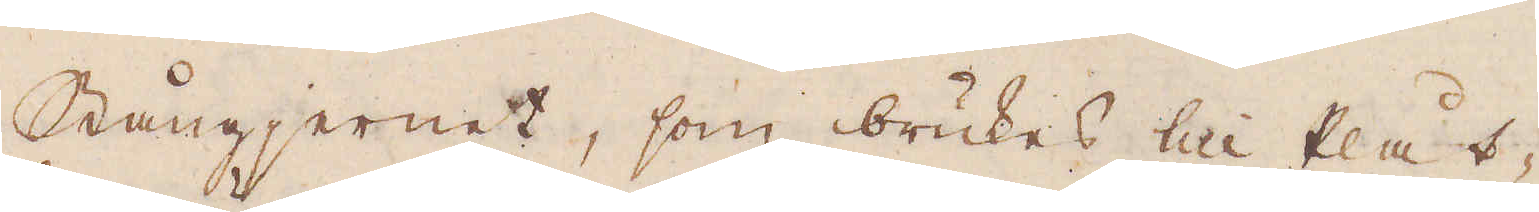Stångjernet, som brukes till Plåt-
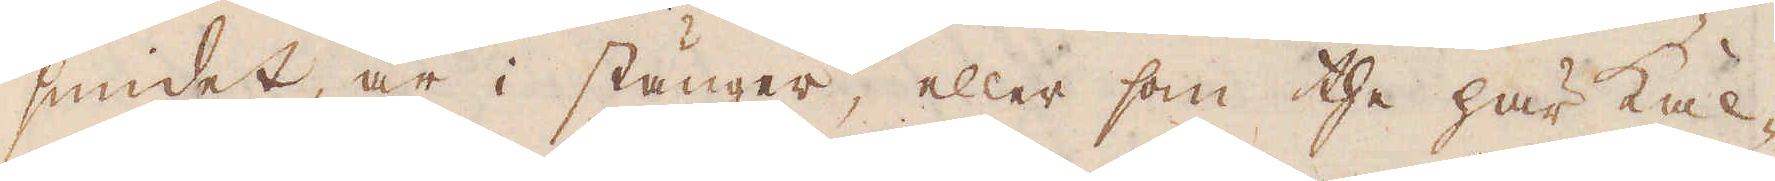smidet, är i stänger, eller som the här kal-
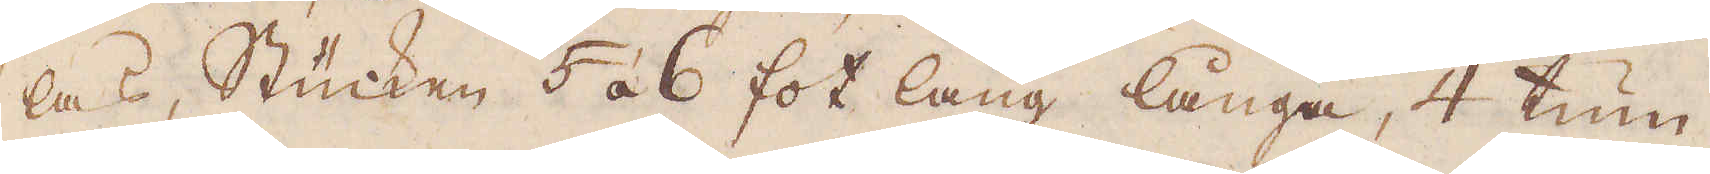las, Stücnken 5 à 6 fot lång långa, 4 tum
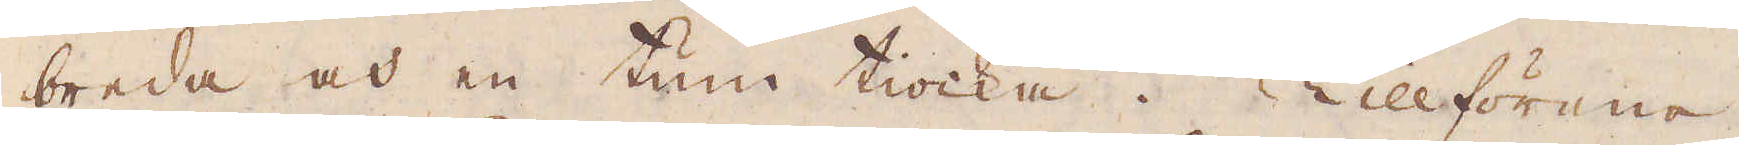breda och en tum tiocka. Tillförene
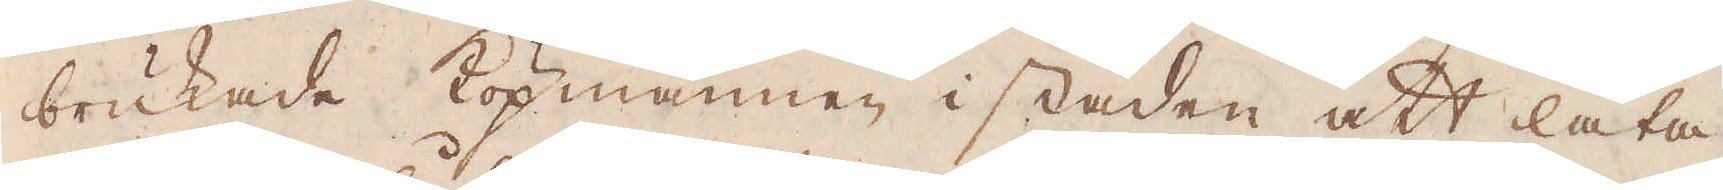brukade köpmännen i staden att låta
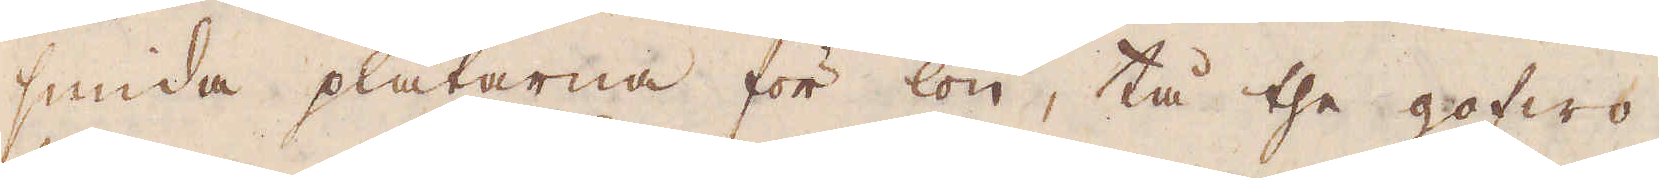smida plåtarne för lön, tå the gofwo
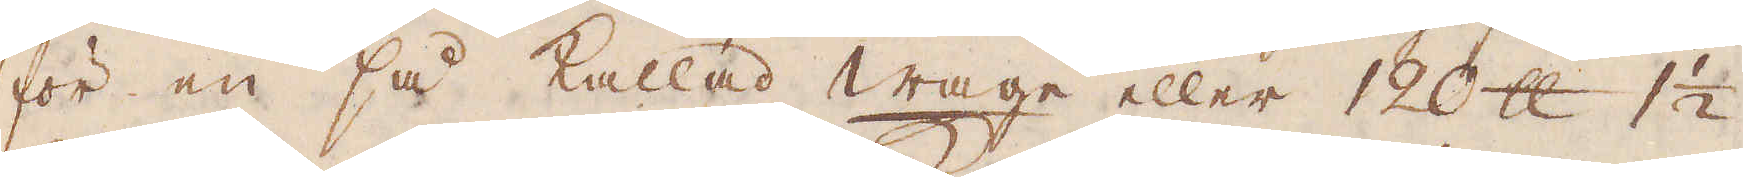för en så kallad wage eller 120 skålpund 1 1/2
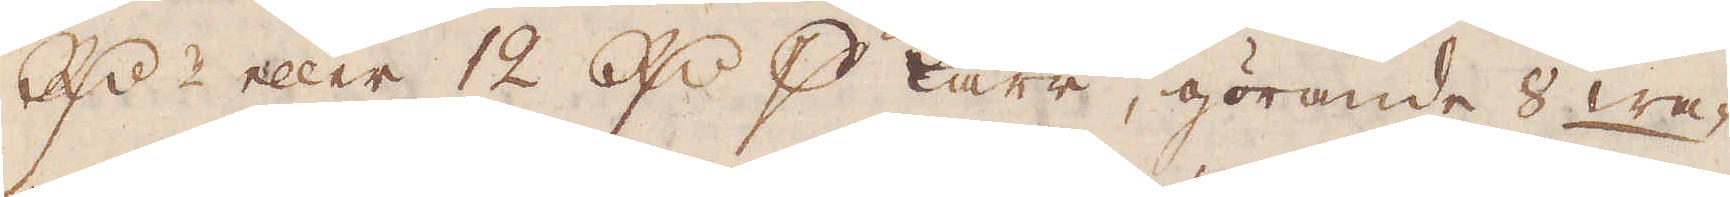R:r eller 12 R:r p karr, görande 8 wa-
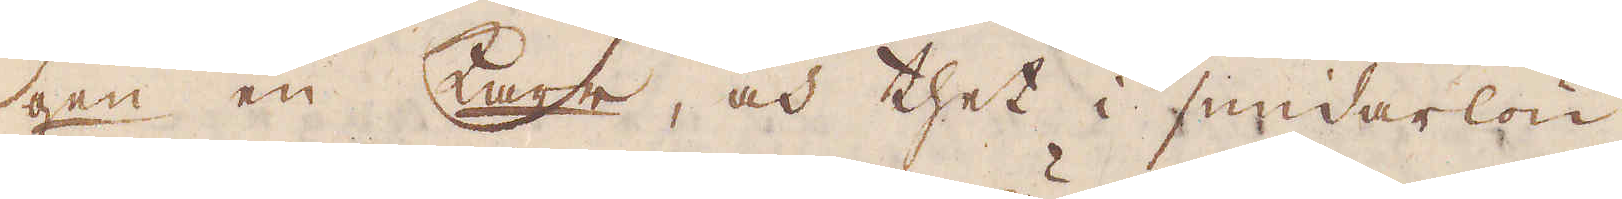gen en Karr, och thet i smidarlön
